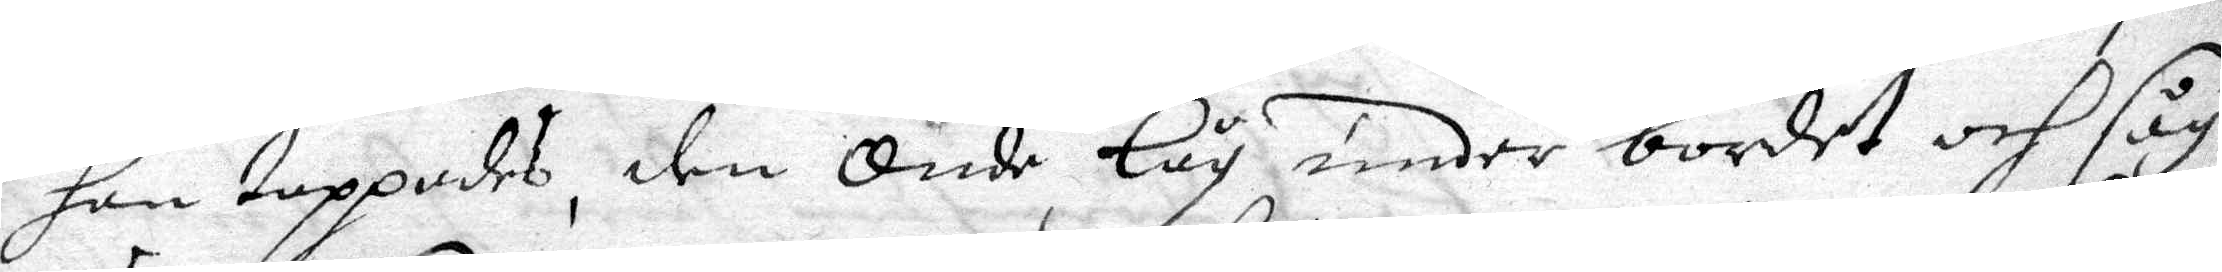hon toppades, den Onde låg under bordet och såg
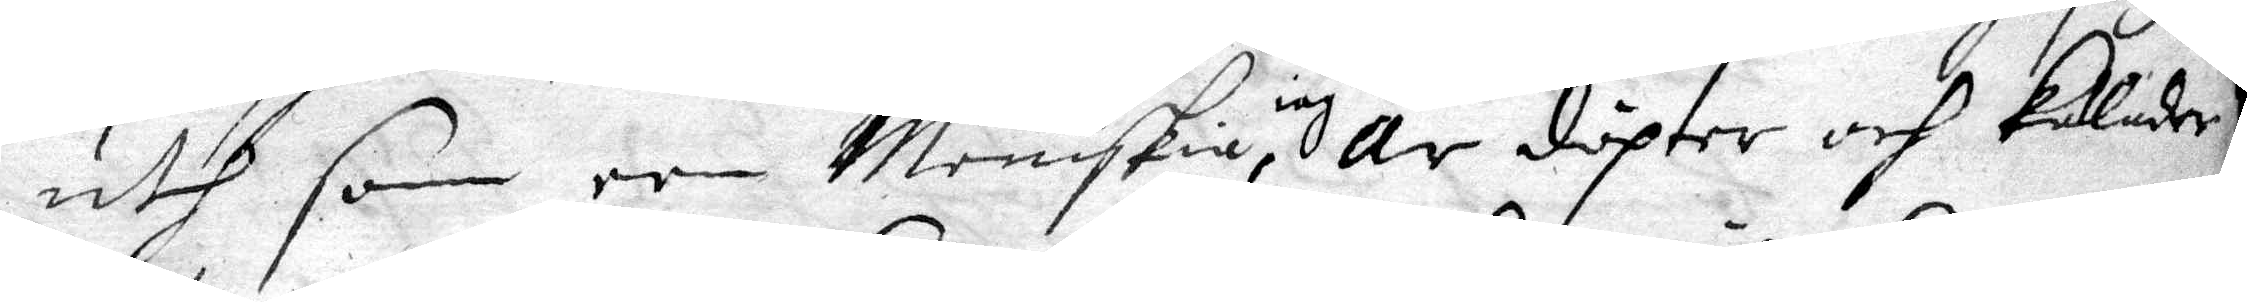uth som een Meniskia, iag är döpter och kallader
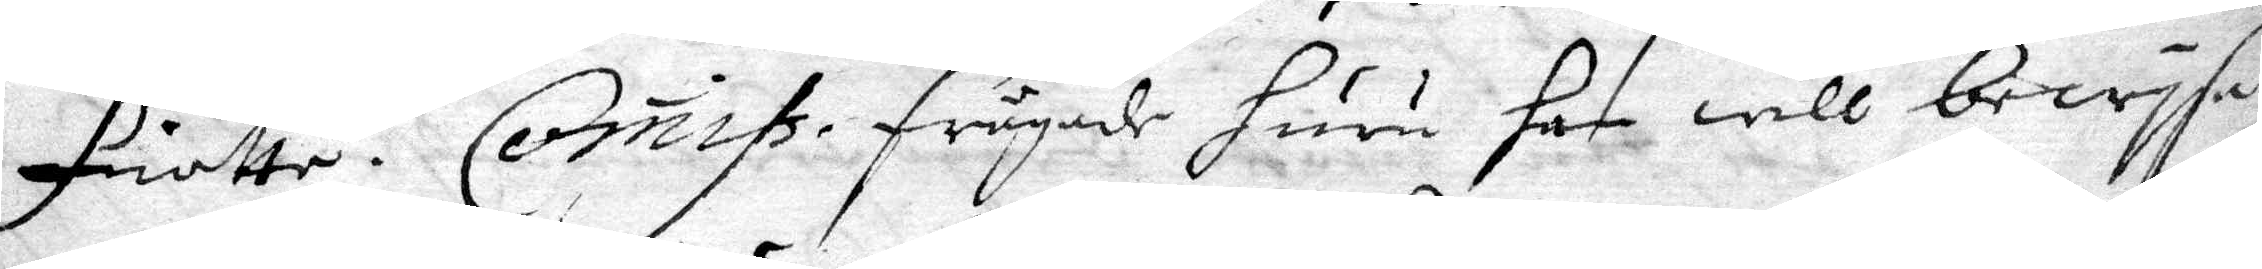fiatte. Comiss. frågade huru han will bewysa 
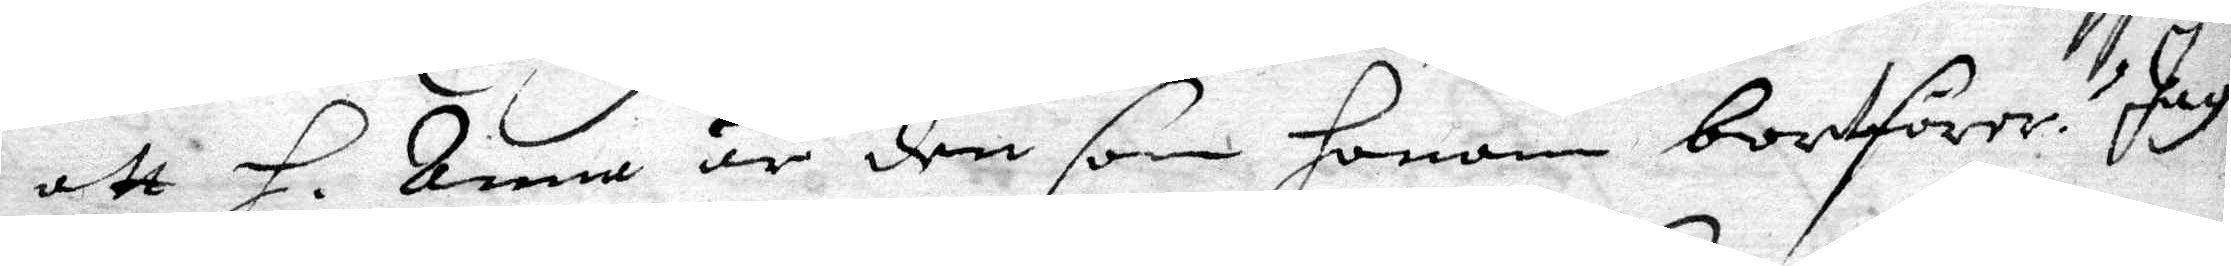att H. Anna är den som honom bortförer. Jag 
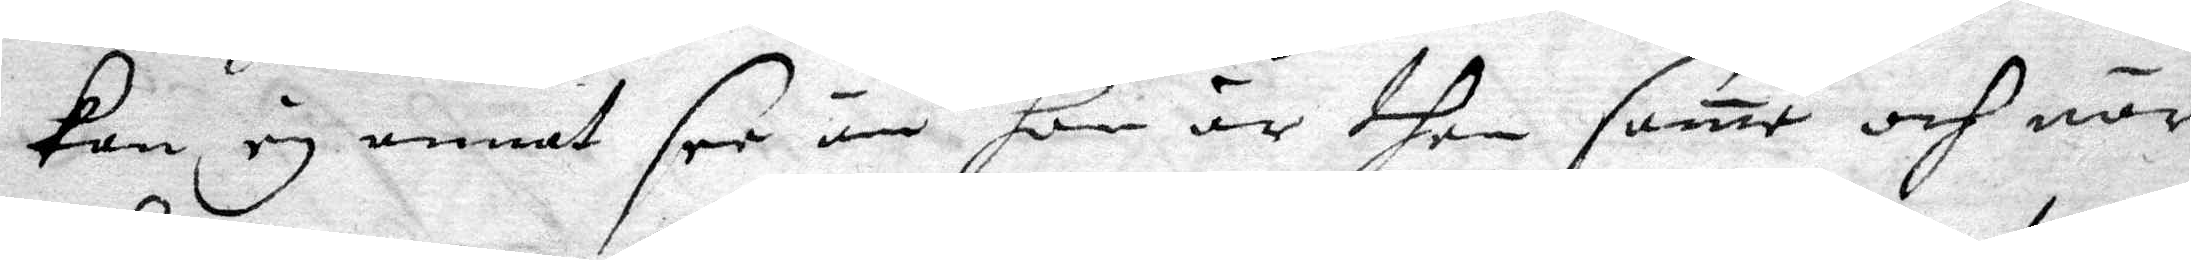kan ej annat see än hon är then same och när
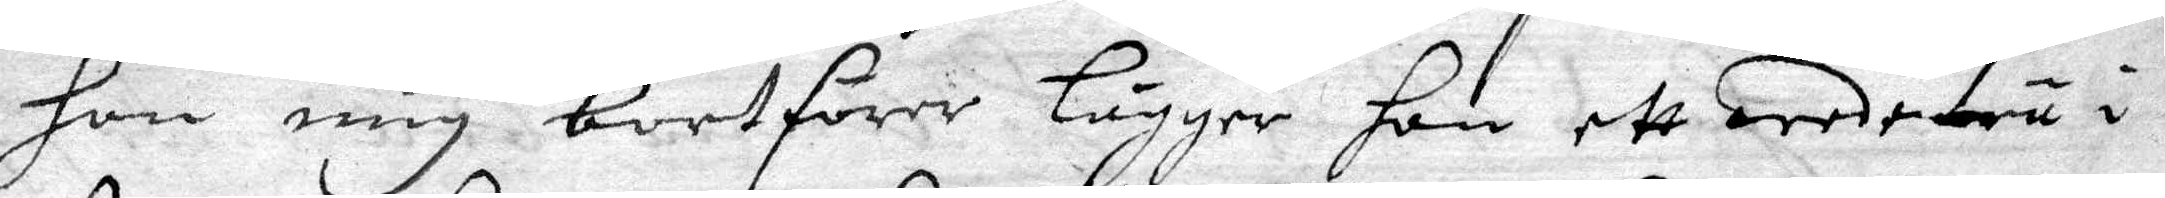hon mig bortförer lägger hon ett wedeträ i
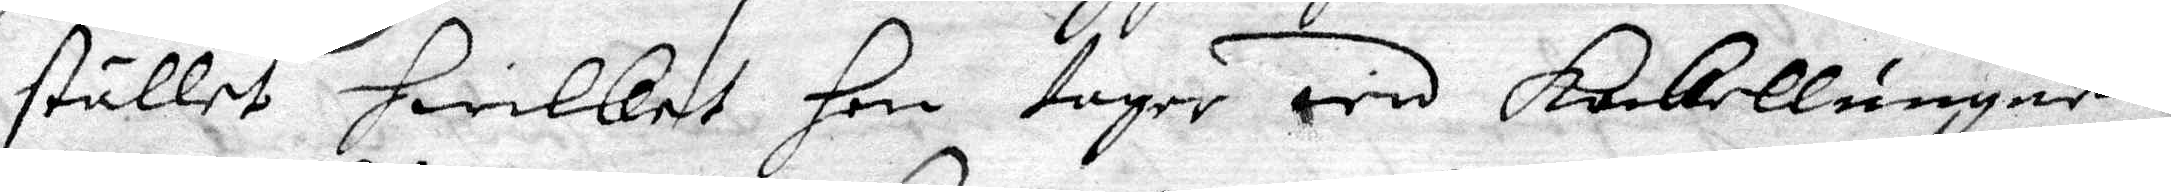stället hwilket hon tager wid kackellungnen
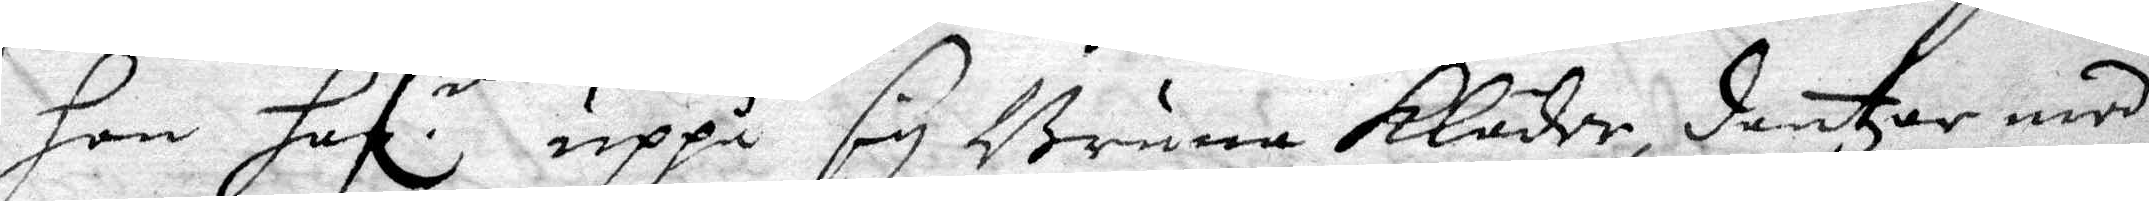hon haf.r uppå sig Bruna Kläder, dantzar med 
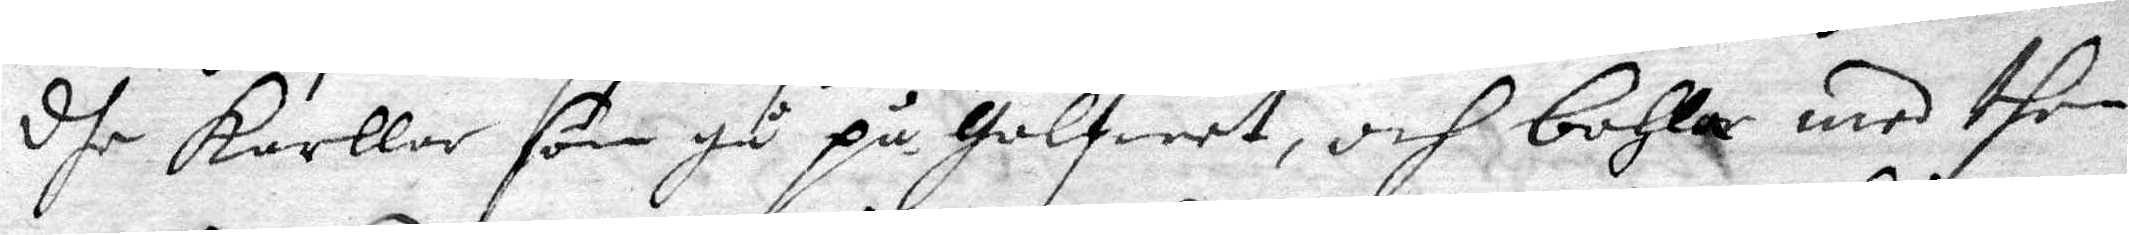dhe karllar som gå på golfwet, och bohla med then
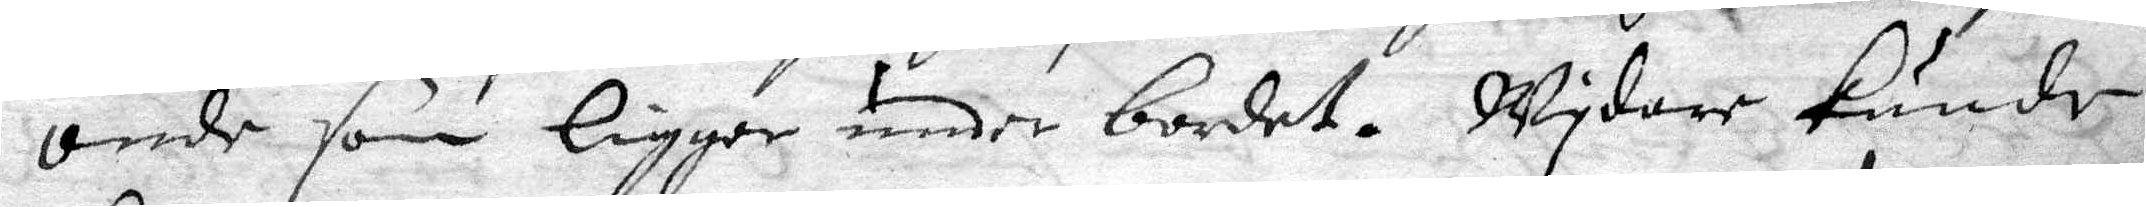onde som ligger under bordet. Wydare kunde
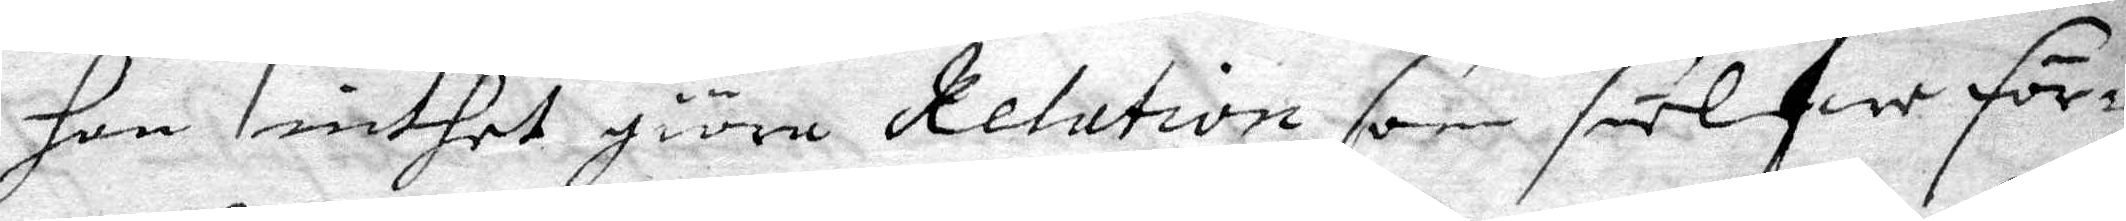hon inthet giöra Relation som sielfwe för¬
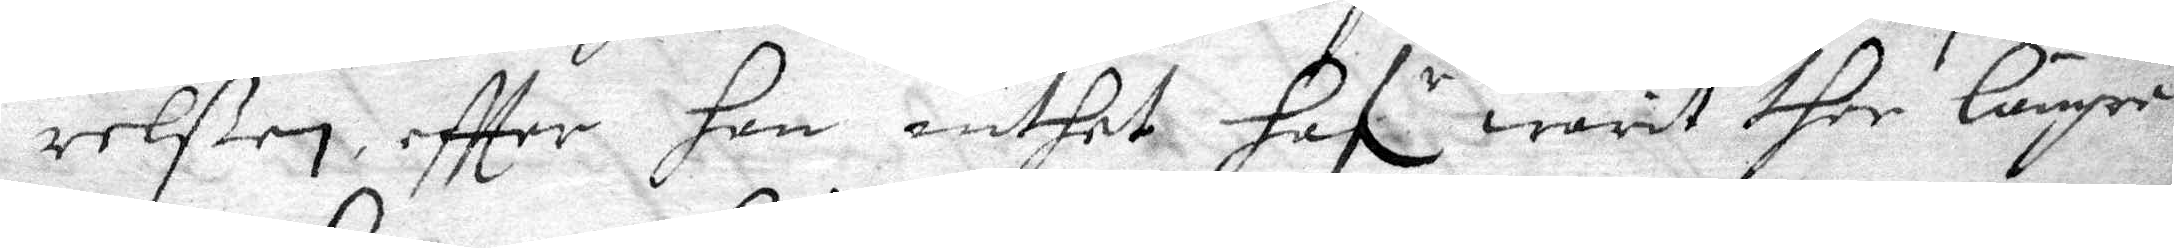relßen effter han inthet hafr warit ther längre 
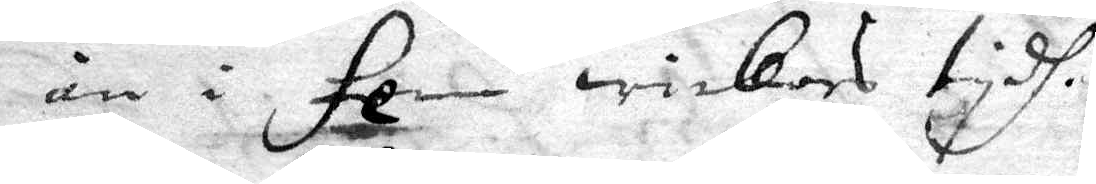än i fem wickors tydh.
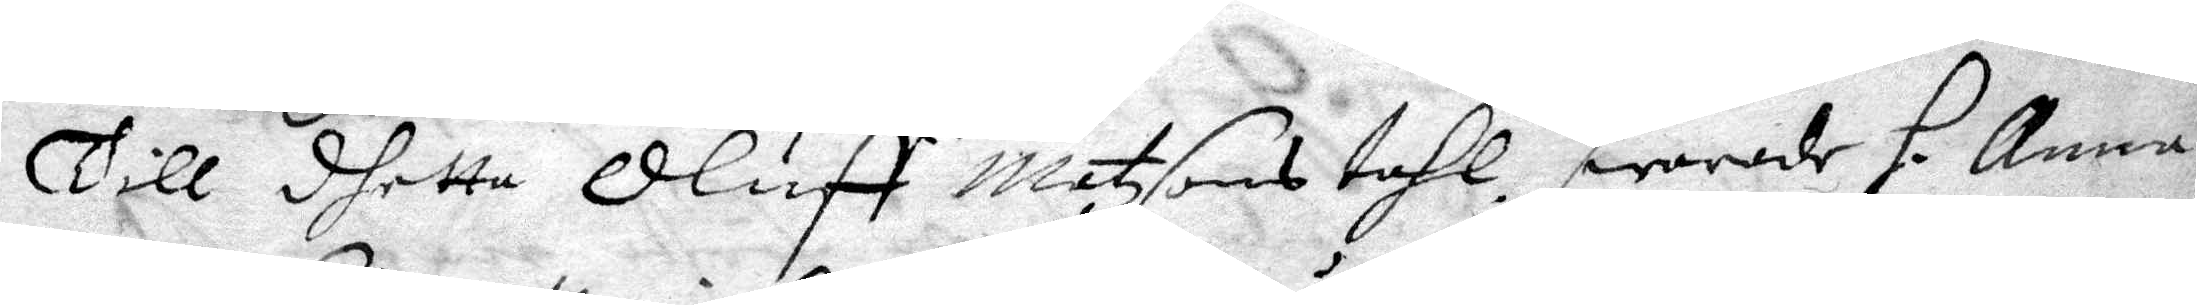Till dhetta Oluff Matzsons tahl, swarade H. Anna 
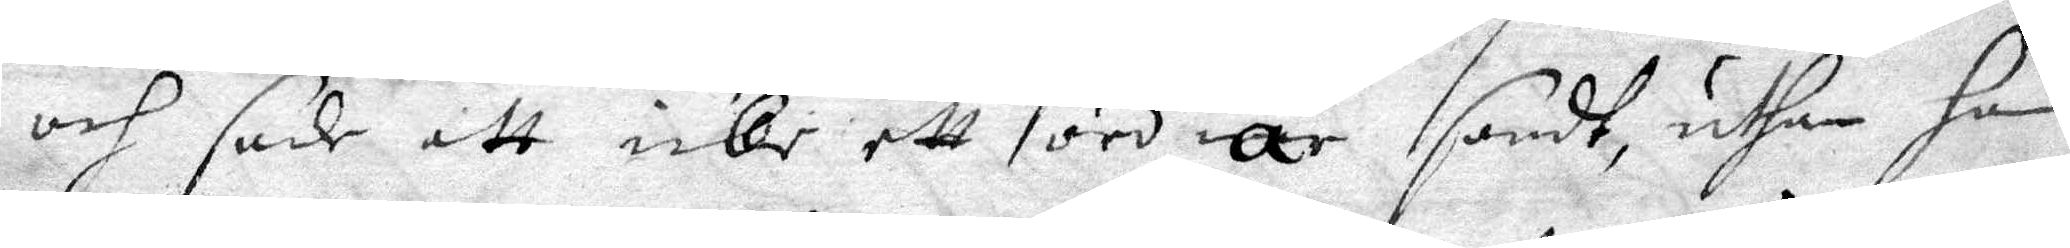och sade att icke ett ord är sandt, uthan han
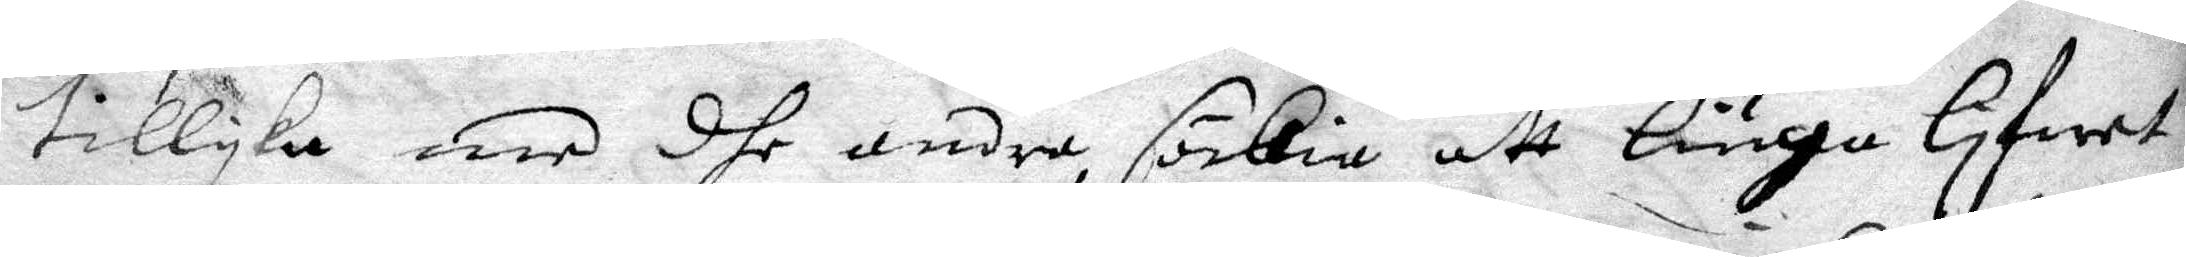tillyka med dhe andra, söckia att liuga lifwet
